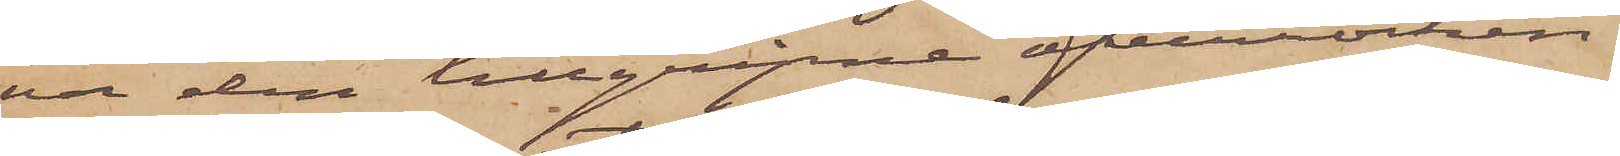va den tillgripne öfverrocken
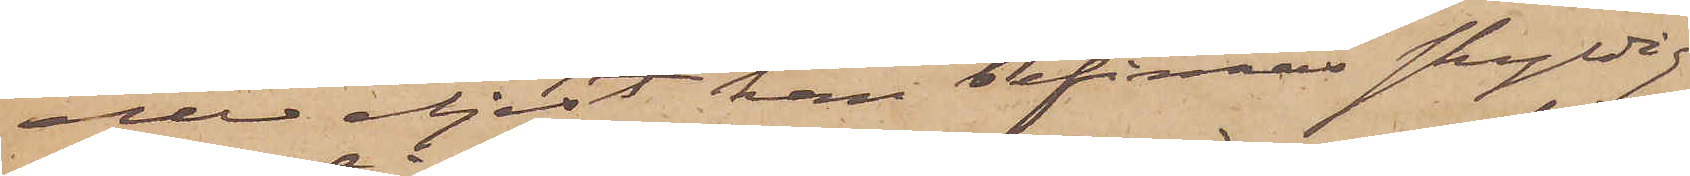eller eljest kan befinnas skyldig
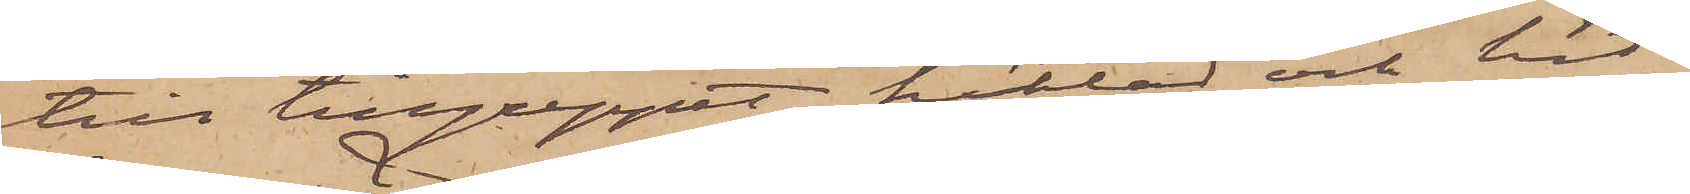till tillgreppet, häktas och hit
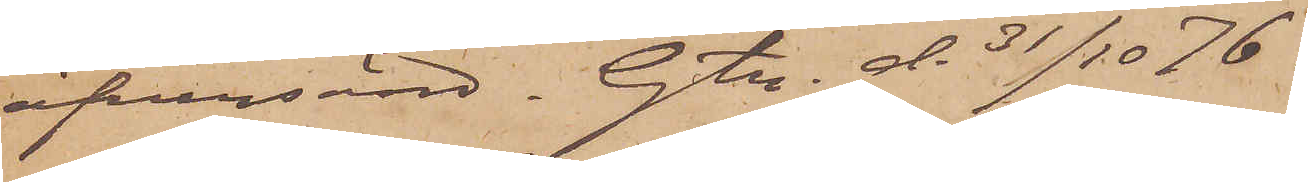öfversänd. Gtg d. 31/10  76.
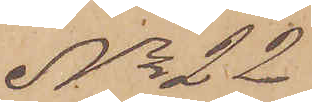No 22
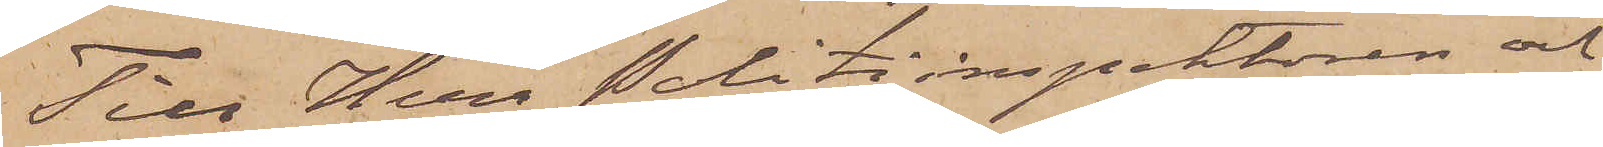Tier Herr Politiinspektoren och
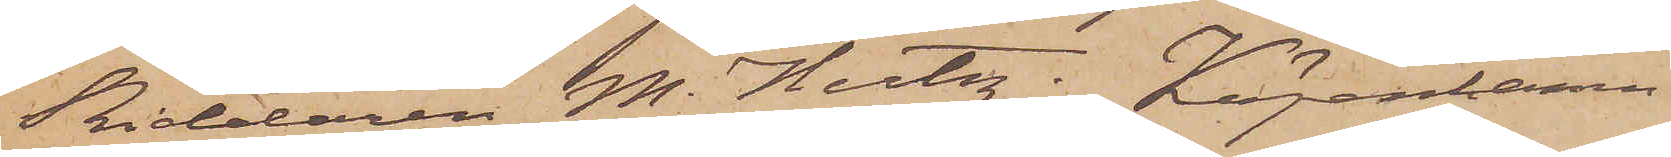Riddaren M. Hertz, Köpenhamn.
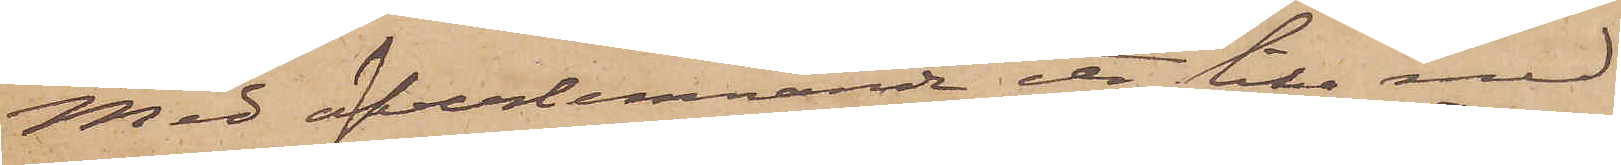Med öfverlemnande etc. lika med
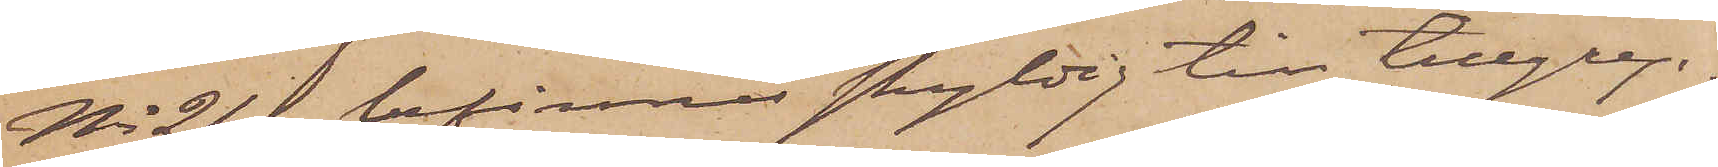No 21. befinnes skyldig till tillgrep¬
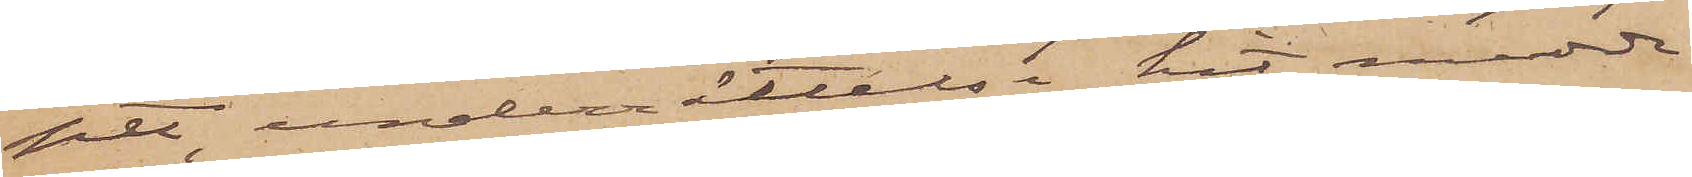pet, underrättelse hit medde¬
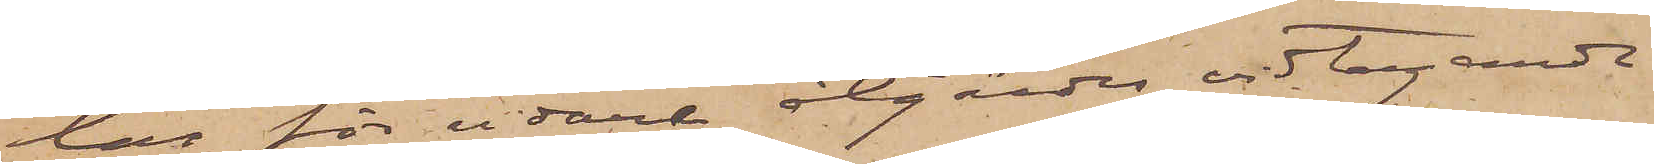las för vidare åtgärders vidtagande
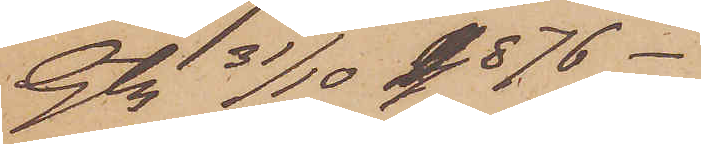Gtg 31/10 1876.
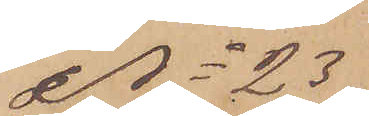No 23
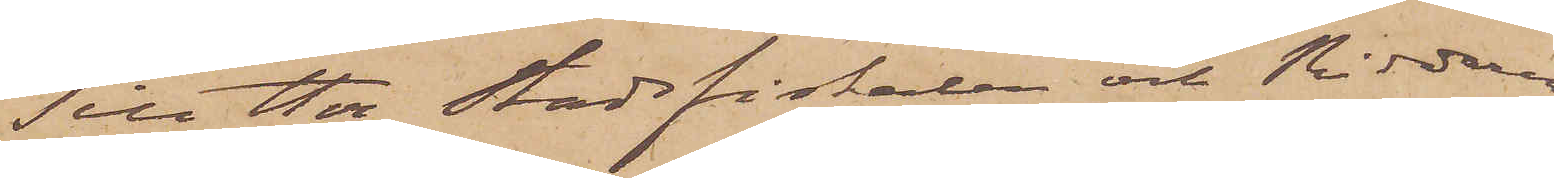Till Herr Stadsfiskalen och Riddaren
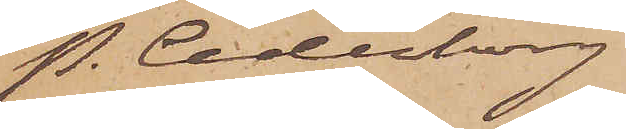P. Cederborg
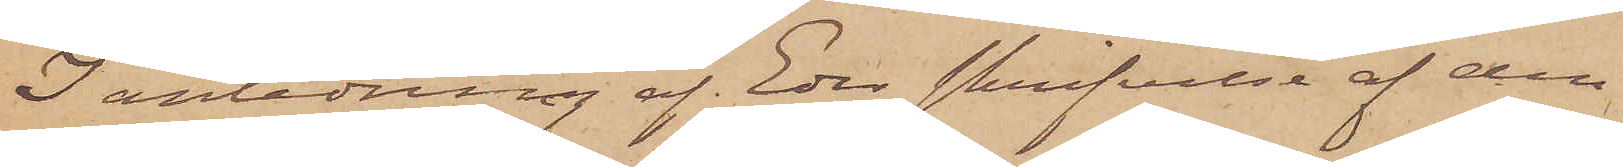I anledning af Eder skrifvelse af den
